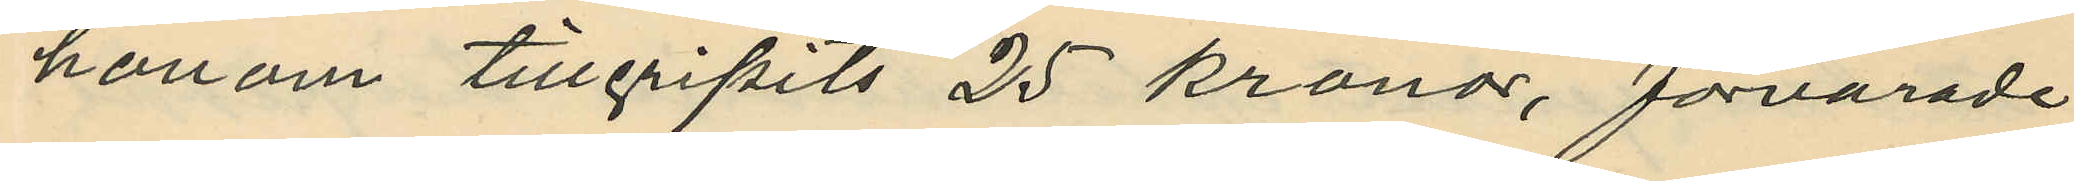honom tillgripits 25 kronor, förvarade
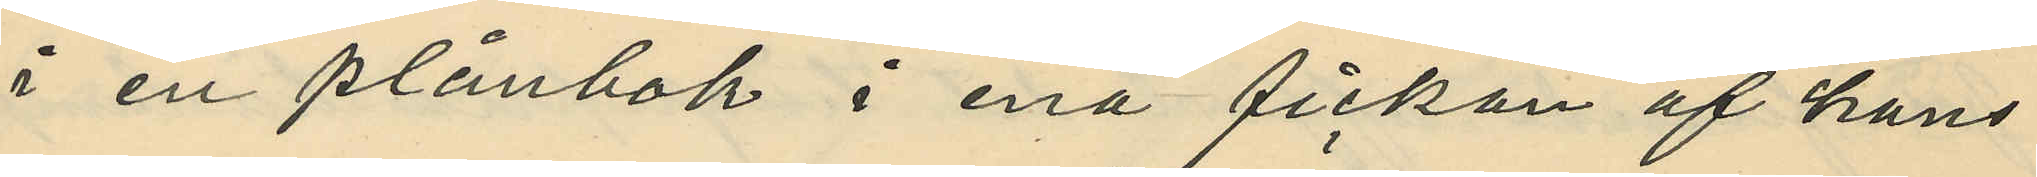i en plånbok i ena fickan af hans
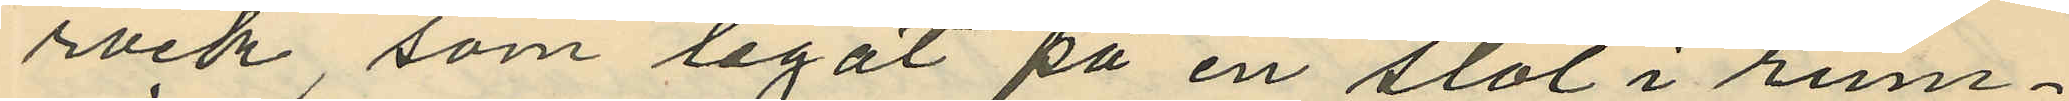rock, som legat på en stol i rum¬
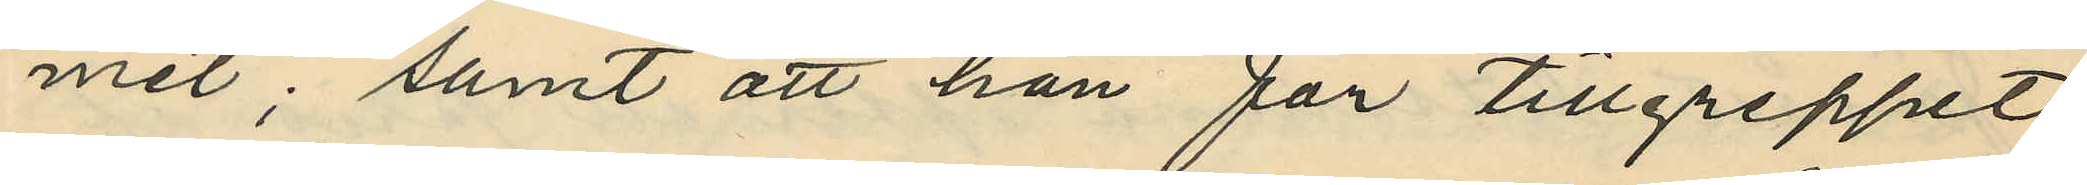met; samt att han för tillgreppet
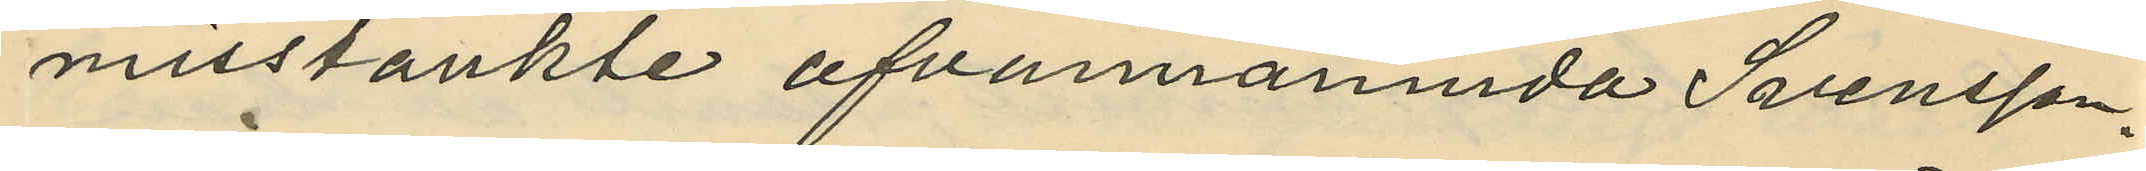misstänkte ofvannämnda Svensson.
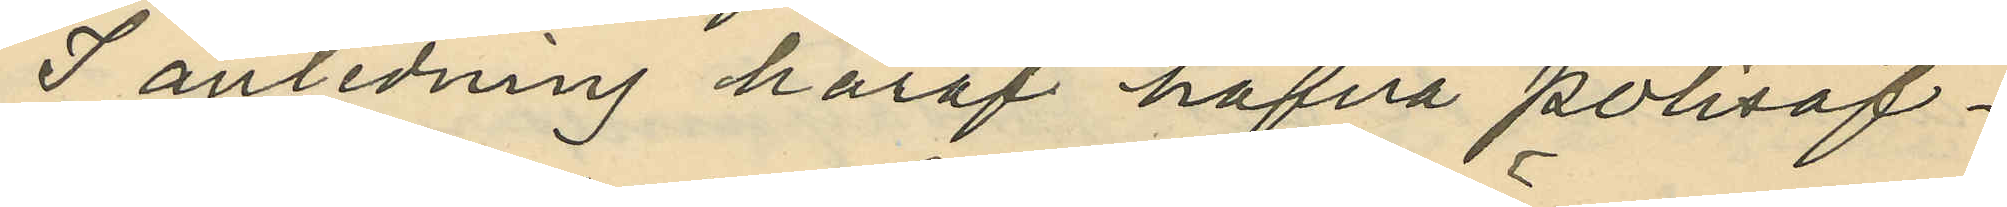I anledning häraf hafva polisöf¬
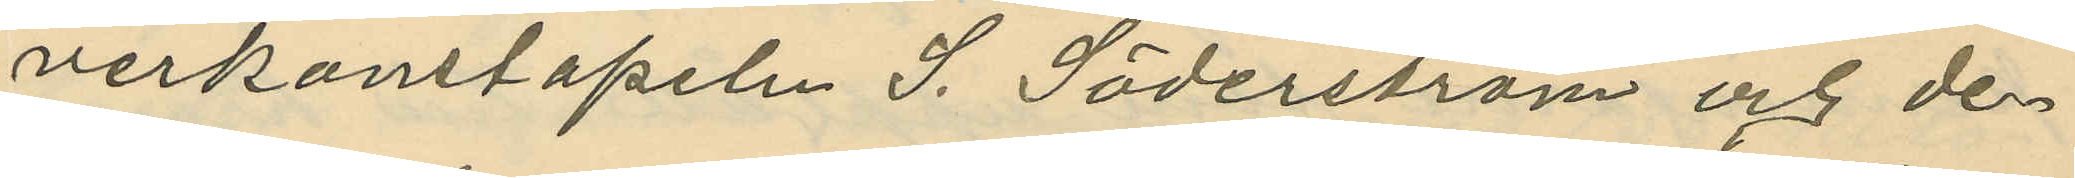verkonstapeln J. Söderström och de¬
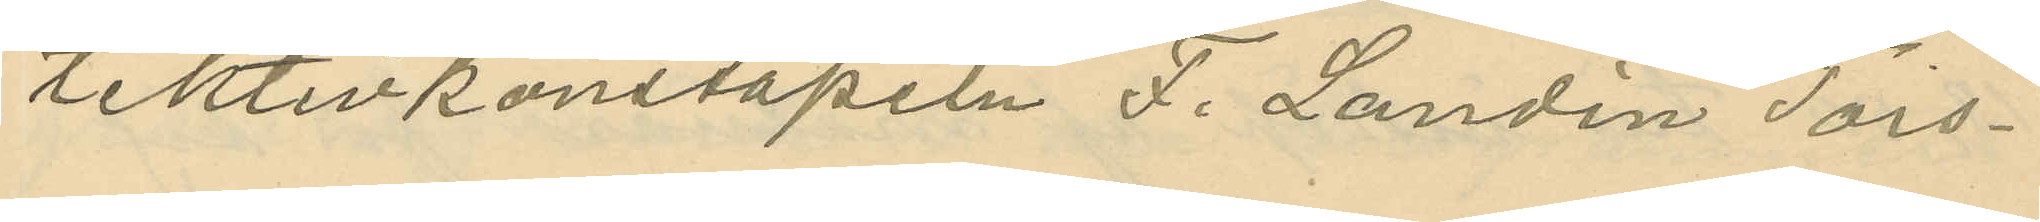tektivkonstapeln F. Landin Tors¬
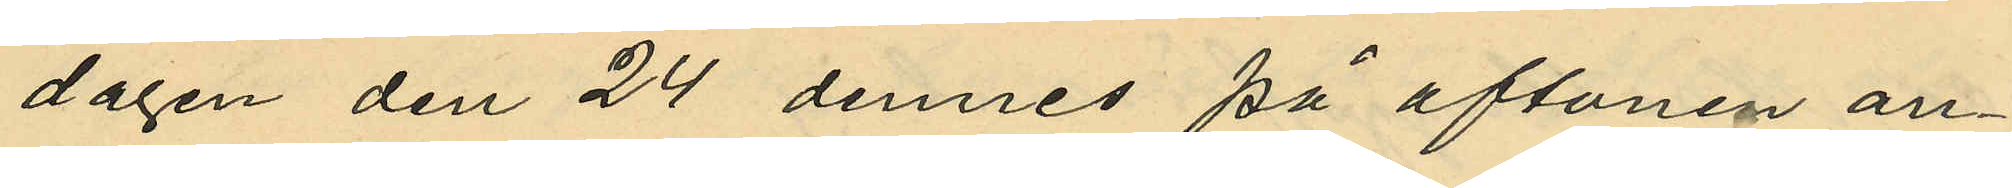dagen den 24 dennes på aftonen an¬
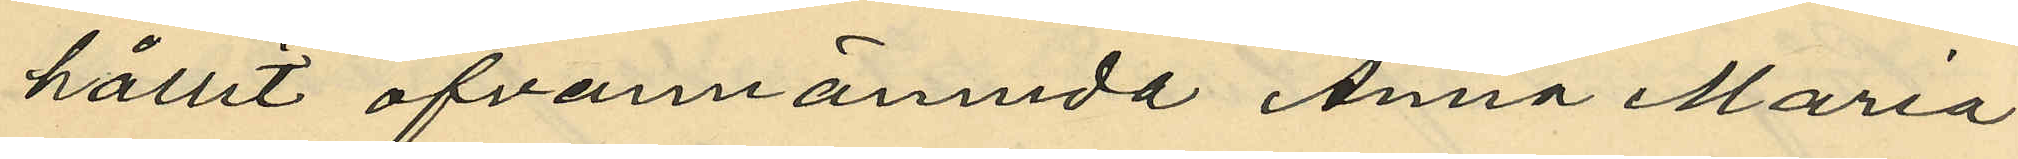hållit ofvannämnda Anna Maria
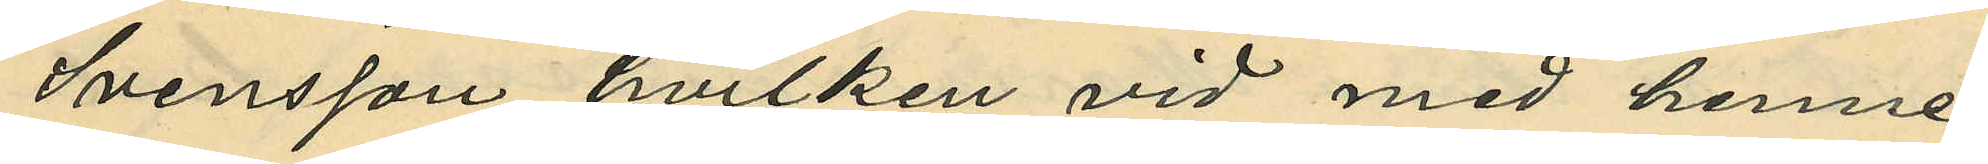Svensson, hvilken vid med henne
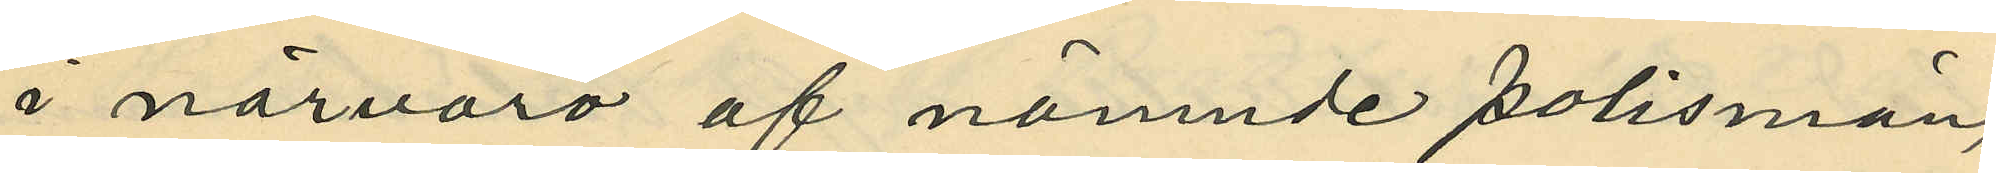i närvaro af nämnde polismän,
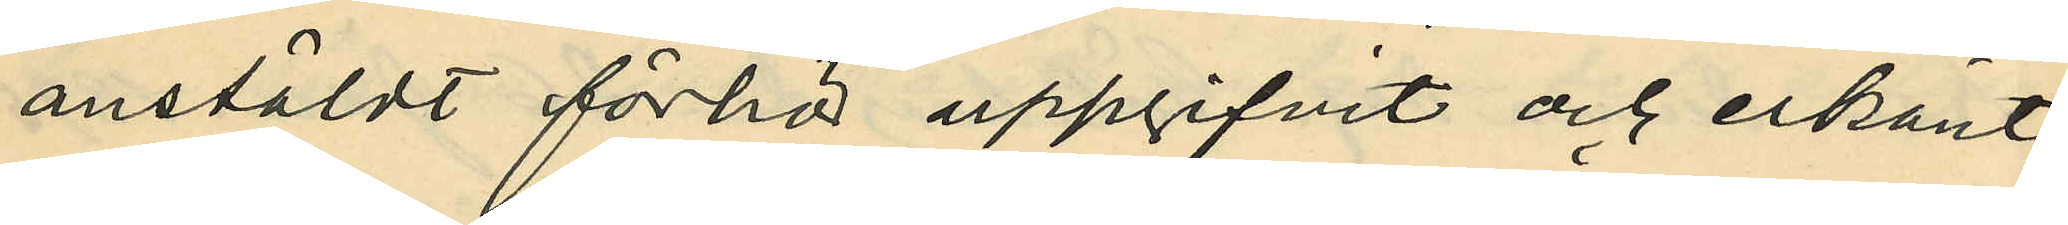anstäldt förhör uppgifvit och erkänt
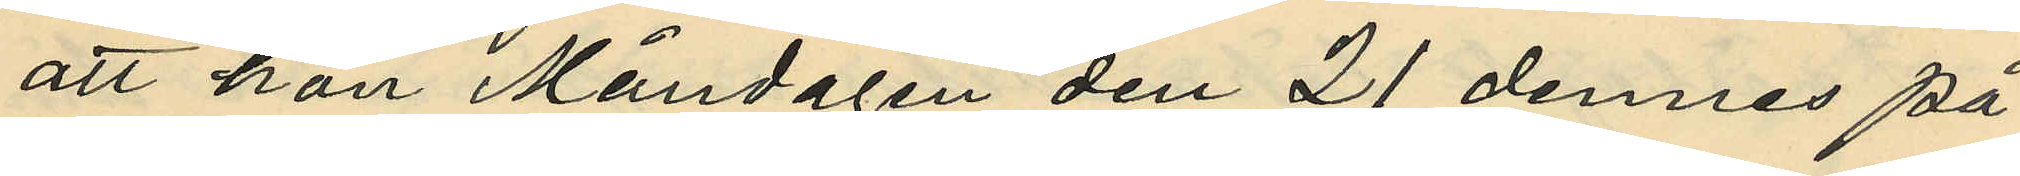att hon Måndagen den 21 dennes på
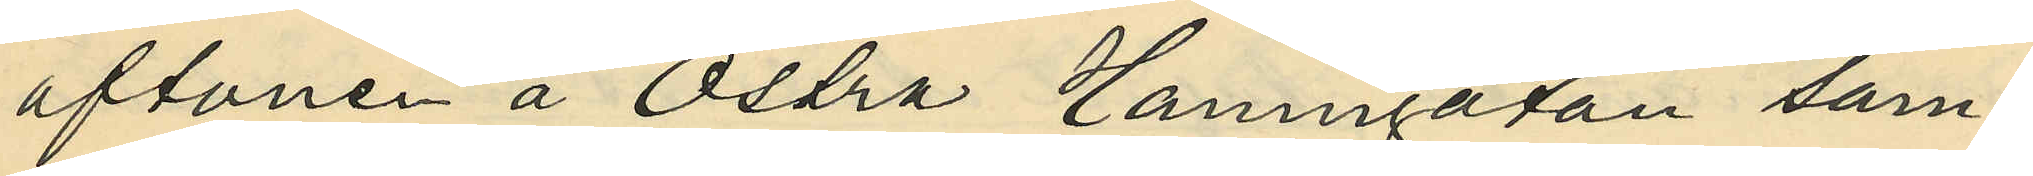aftonen å Östra Hamngatan sam¬
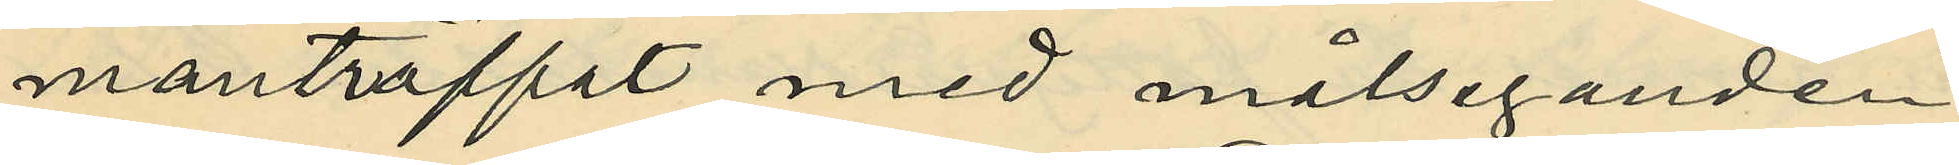manträffat med målseganden
